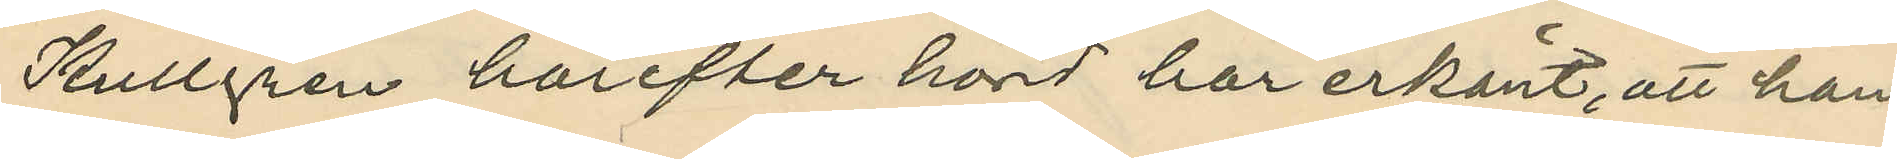Kullgren härefter hörd har erkänt, att han
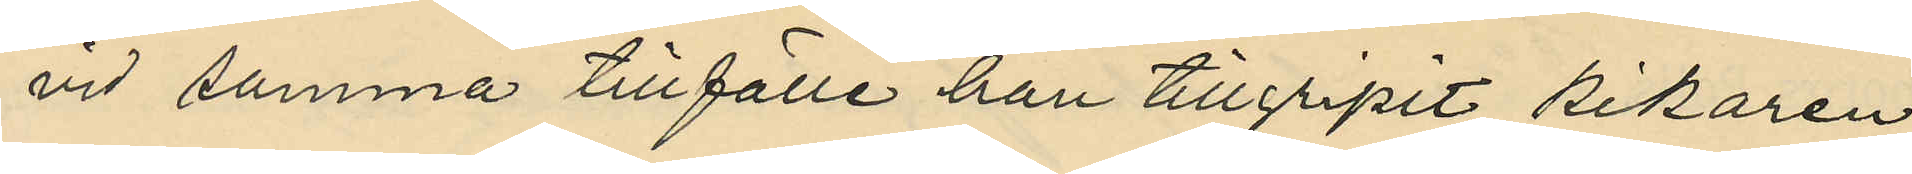vid samma tillfälle han tillgripit kikaren
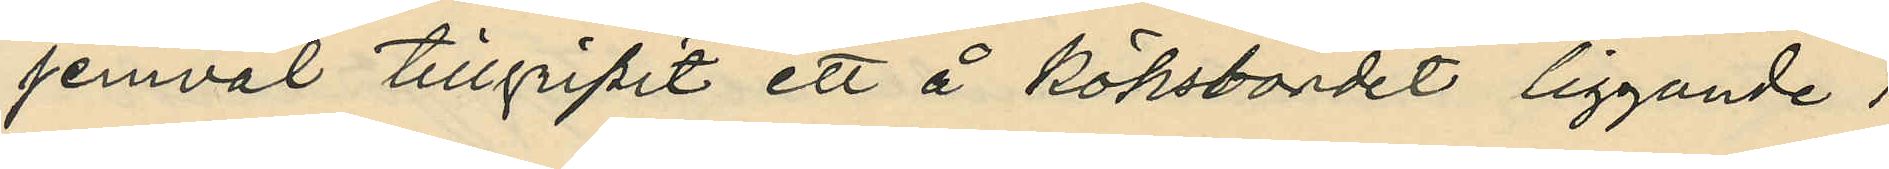jemväl tillgripit ett å köksbordet liggande 1
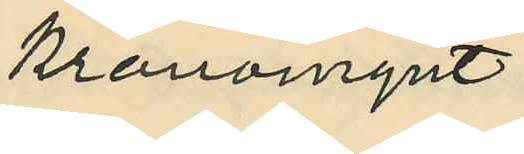kronomynt.
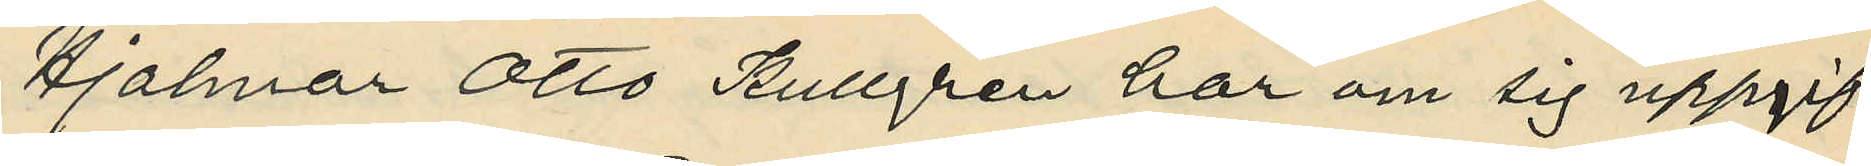Hjalmar Otto Kullgren har om sig uppgif¬
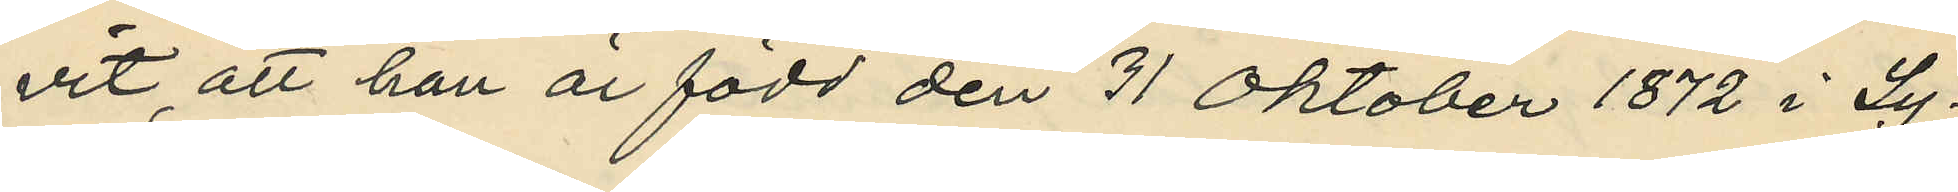vit, att han är född den 31 Oktober 1872 i Ly¬
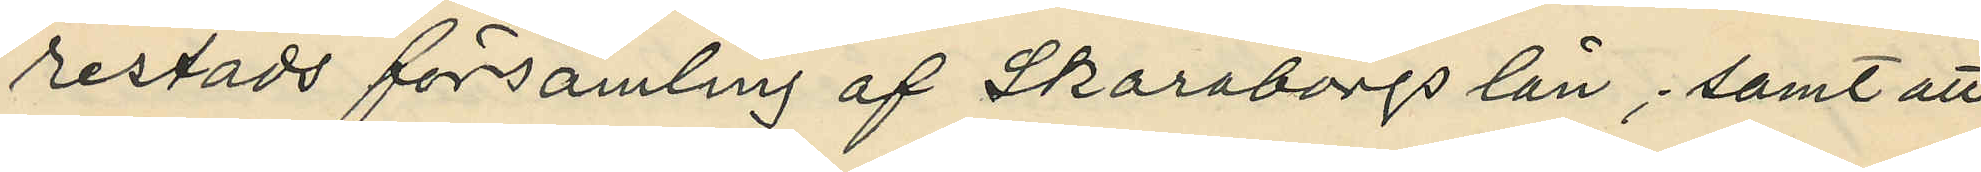restads församling af Skaraborgs län, samt att
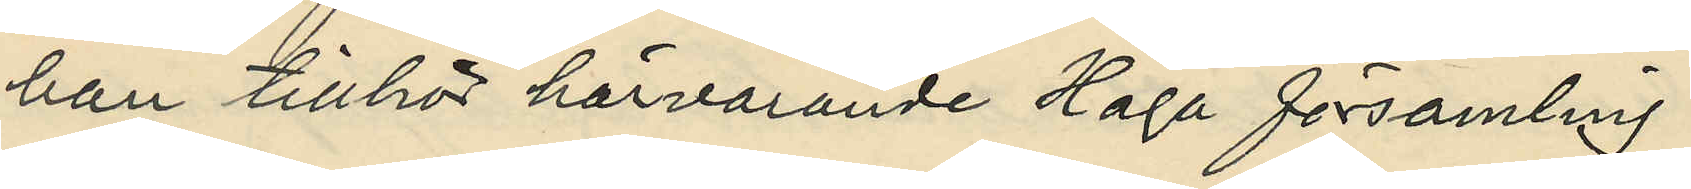han tillhör härvarande Haga församling.
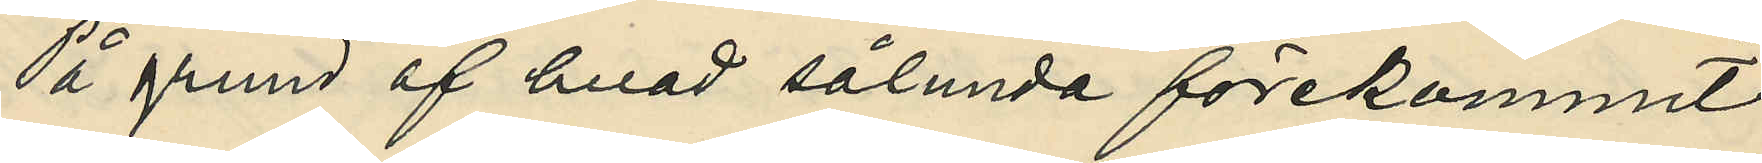På grund af hvad sålunda förekommit,
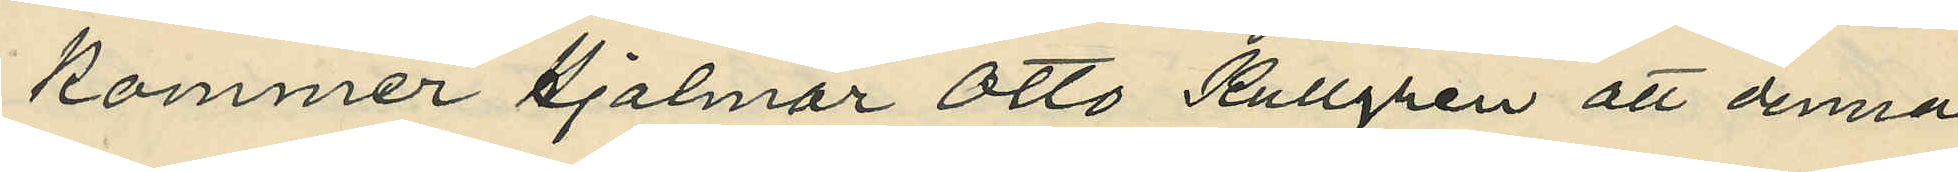kommer Hjalmar Otto Kullgren att denna
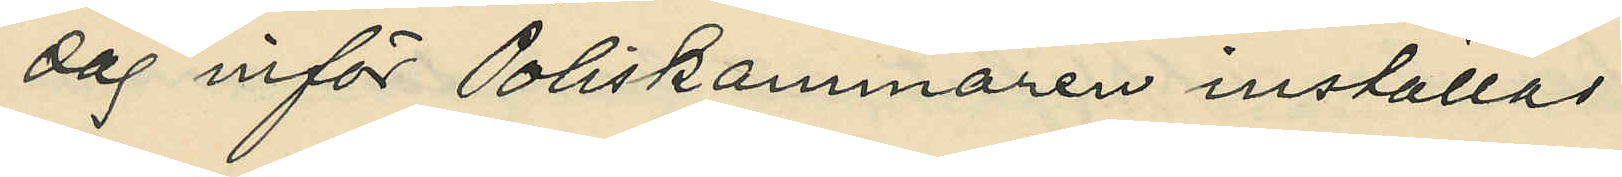dag inför Poliskammaren inställas.
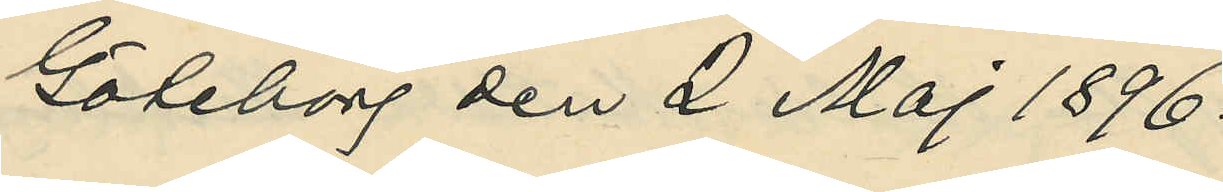Göteborg den 2 Maj 1896.
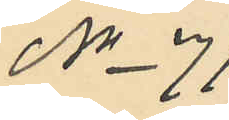No 71
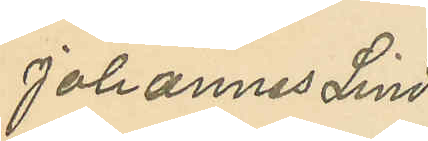Johannes Lind
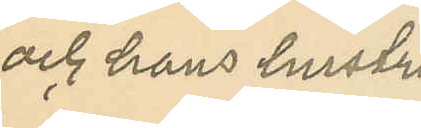och hans hustru
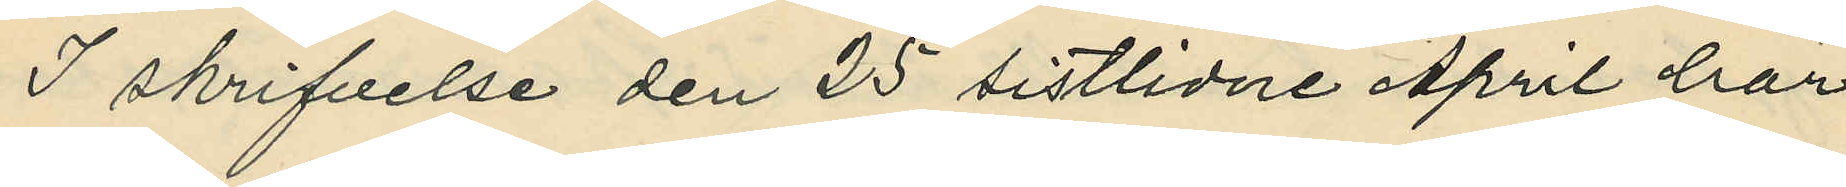I skrifvelse den 25 sistlidne April har
